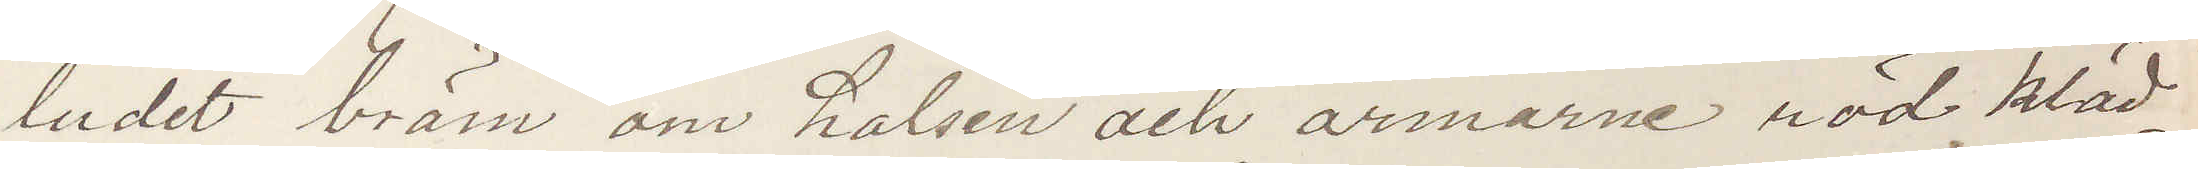ludet bräm om halsen och ärmarne röd kläd¬
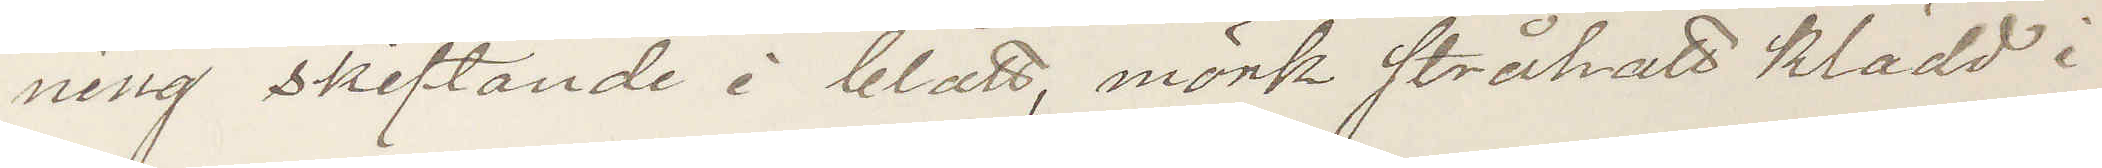ning skiftande i blått, mörk stråhatt klädd i
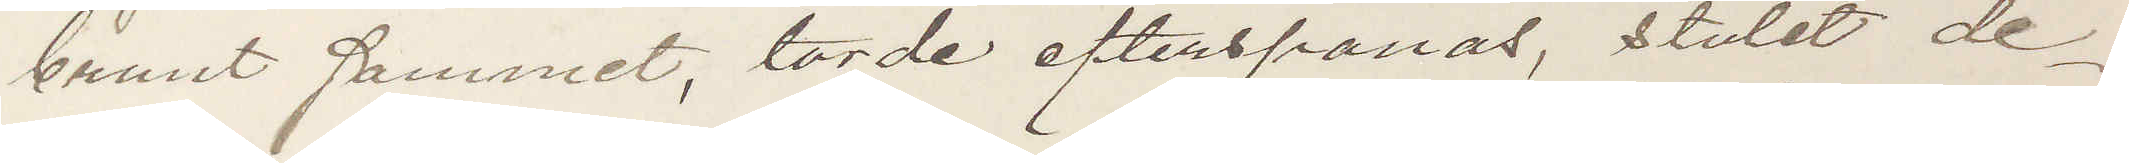brunt sammet, torde efterspanas, stulet de¬
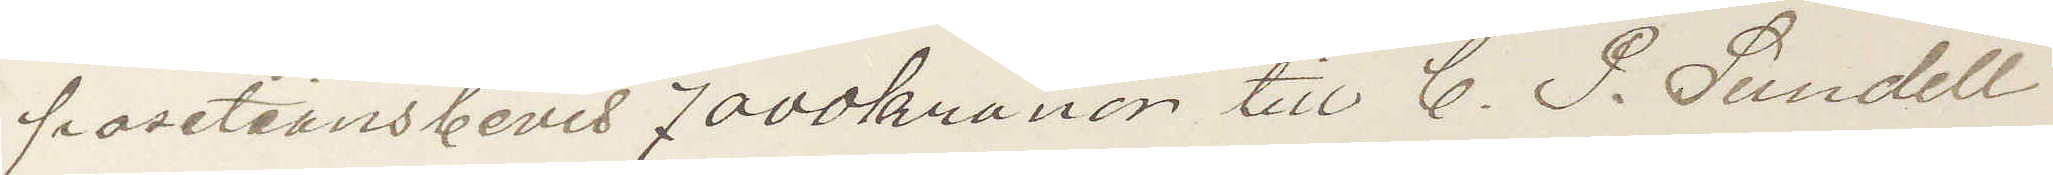posetionsbevis 7000 kronor till C. P. Sundell
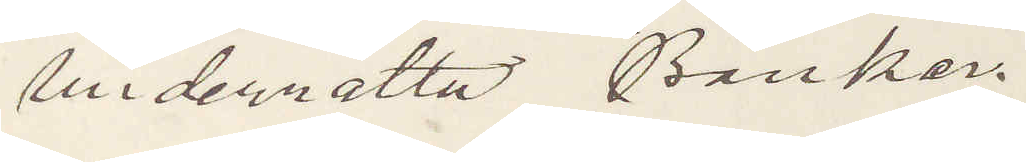underrätta Banker.
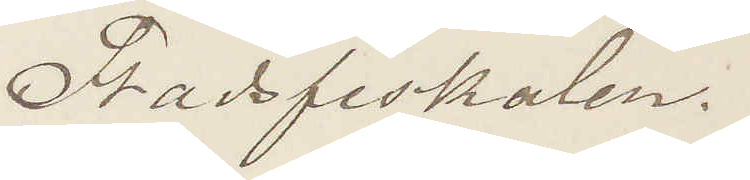Stadsfiskalen.
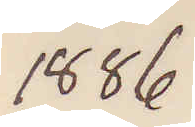1886
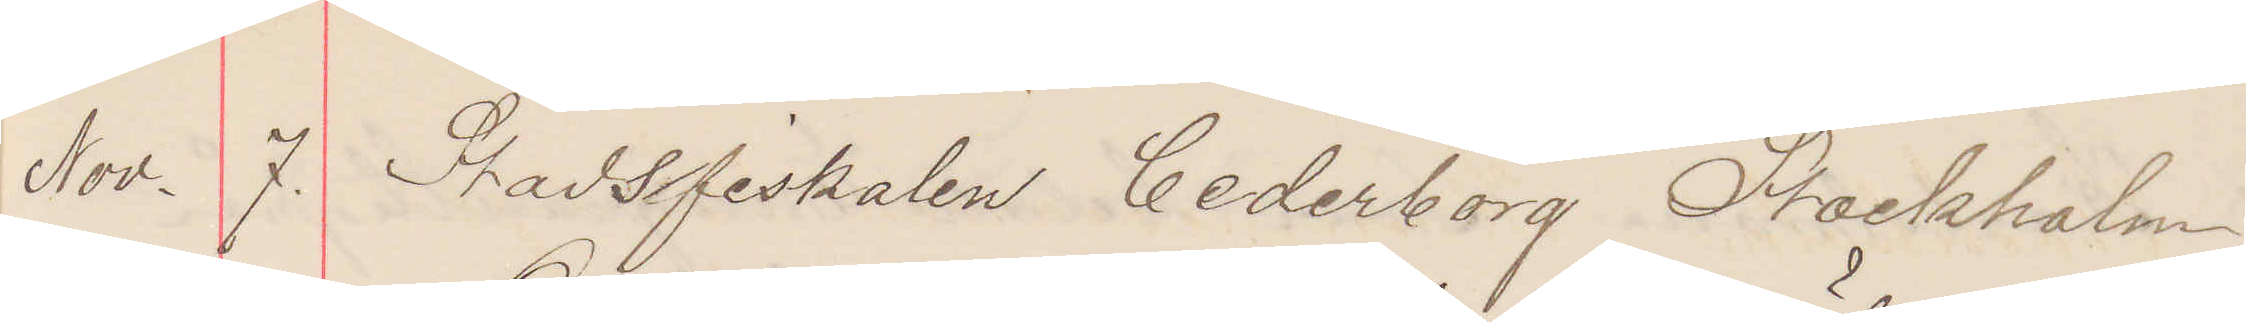Nov. 7. Stadsfiskalen Cederborg Stockholm
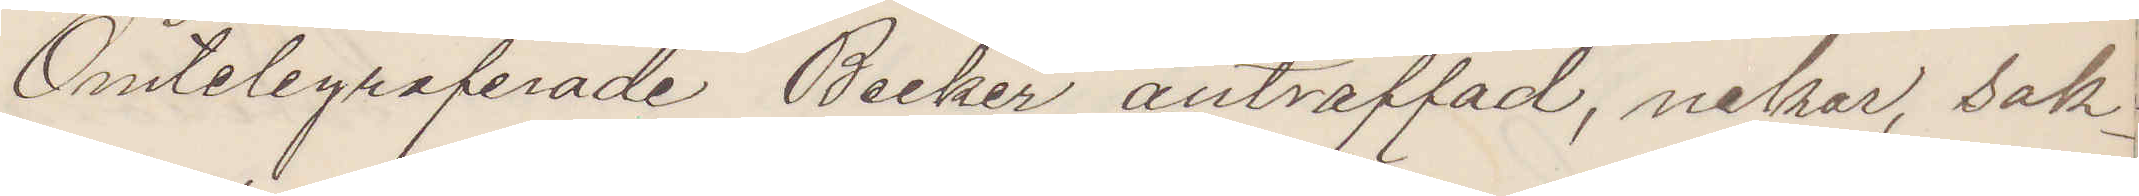Omtelegraferade Becker anträffad, nekar, sak¬
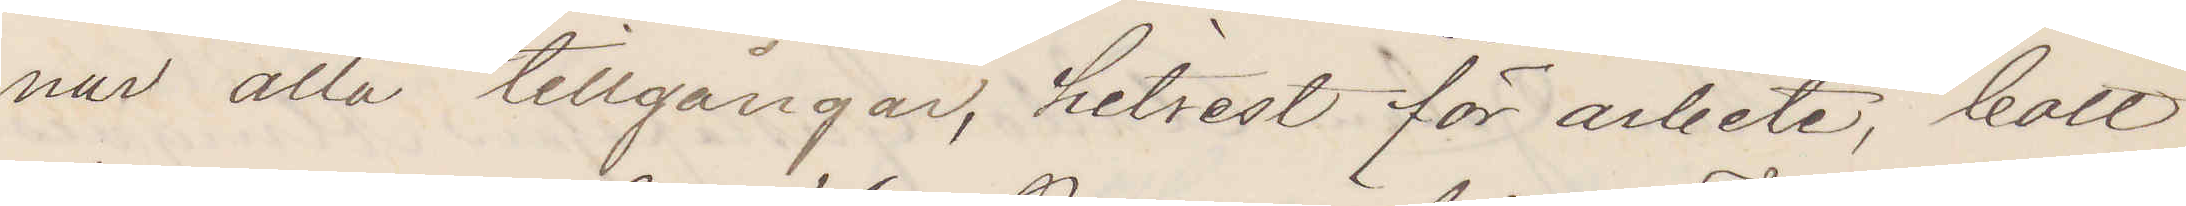nar alla tillgångar, hitrest för arbete, bott
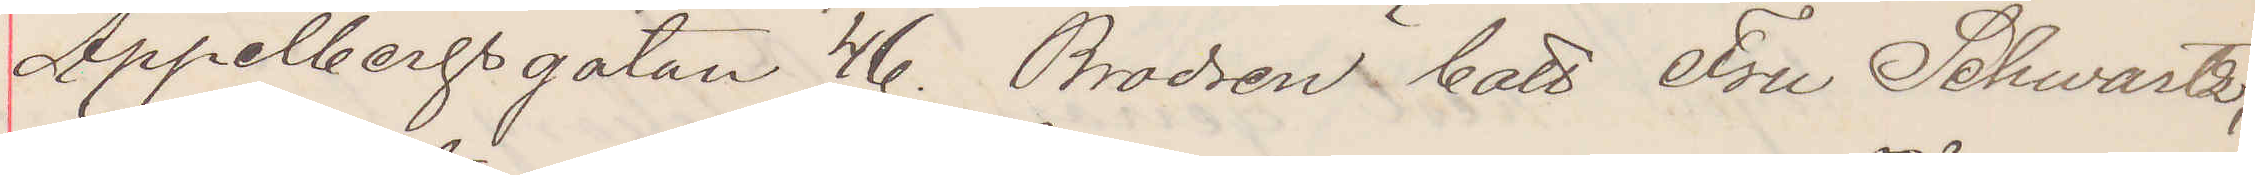Appelbergsgatan 46. Brodren bott Fru Schwartz,
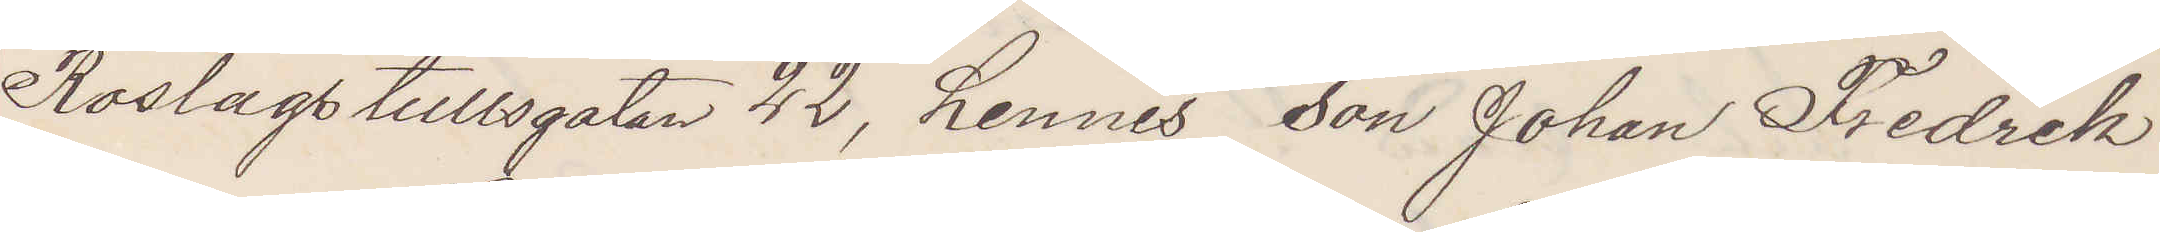Roslagstullsgatan 22, hennes son Johan Fredrik
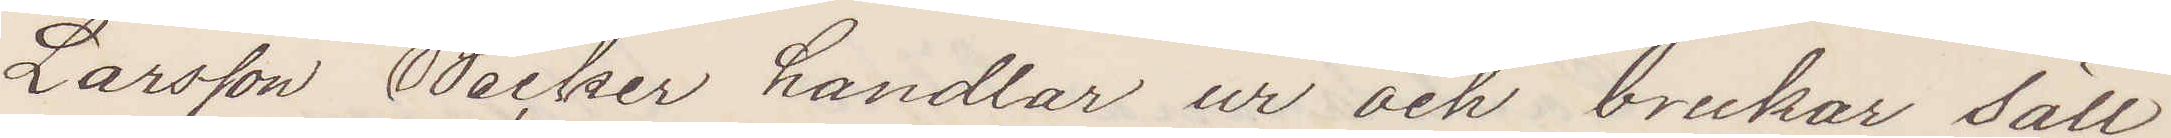Larsson Becker handlar ur och brukar säll¬
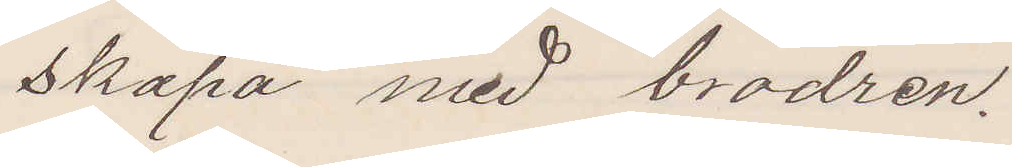skapa med brodren.
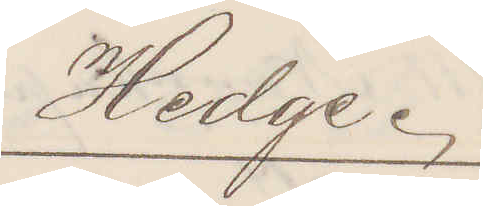Hedge.
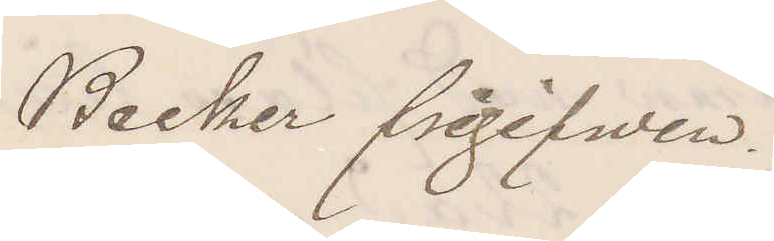Becker frigifwen.
